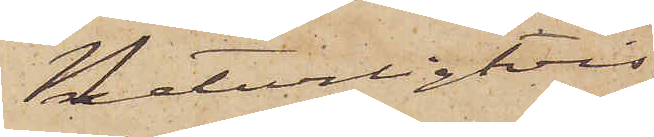Naturligtvis
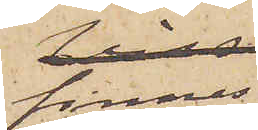finnes
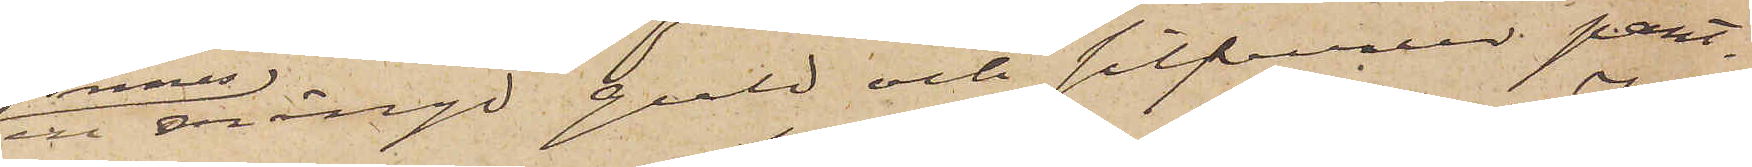en mängd guld och silfverur pant¬
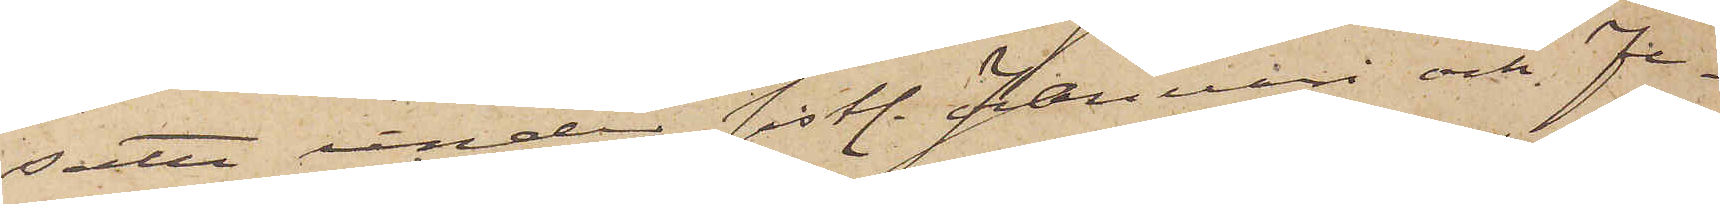satte under sistl. Januari och Fe¬
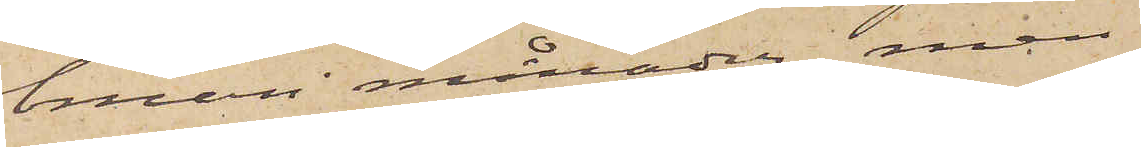bruari månader, men
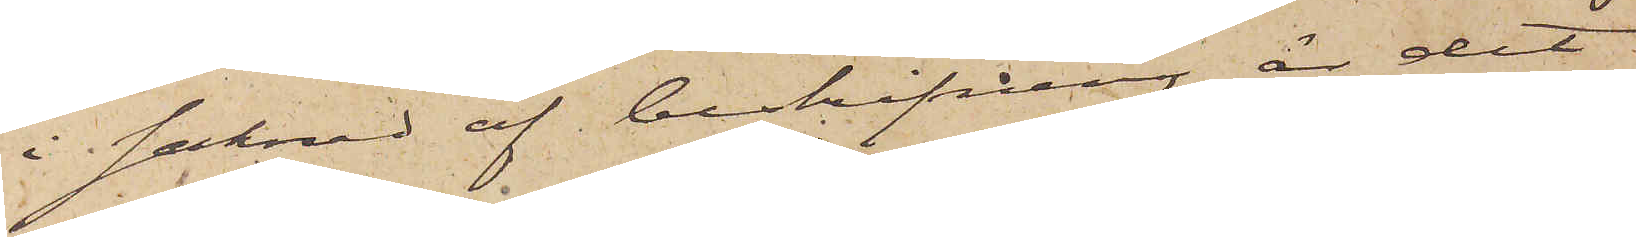i saknad af beskrifning är det
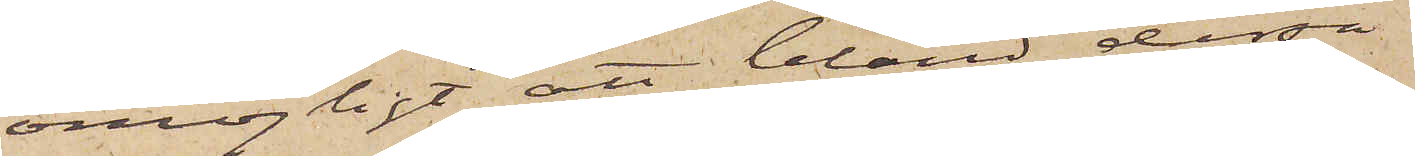omöjligt att bland dessa
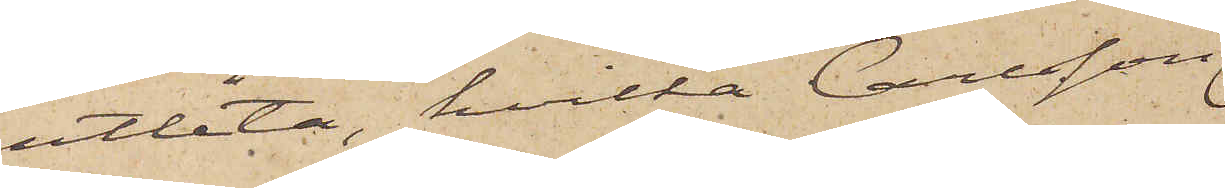utlåta, hvilka Carlsson
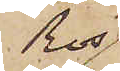Ros
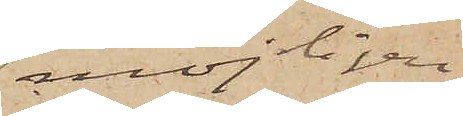möjligen
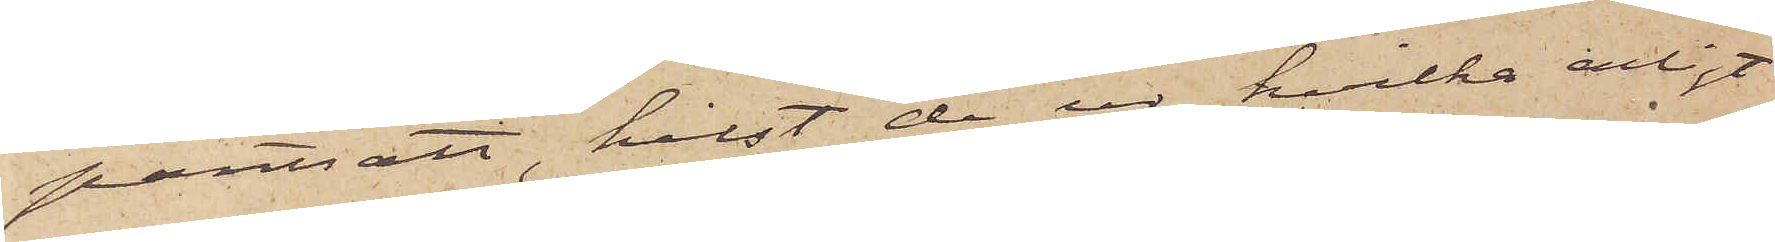pantsatt, helst de ur, hvilka enligt
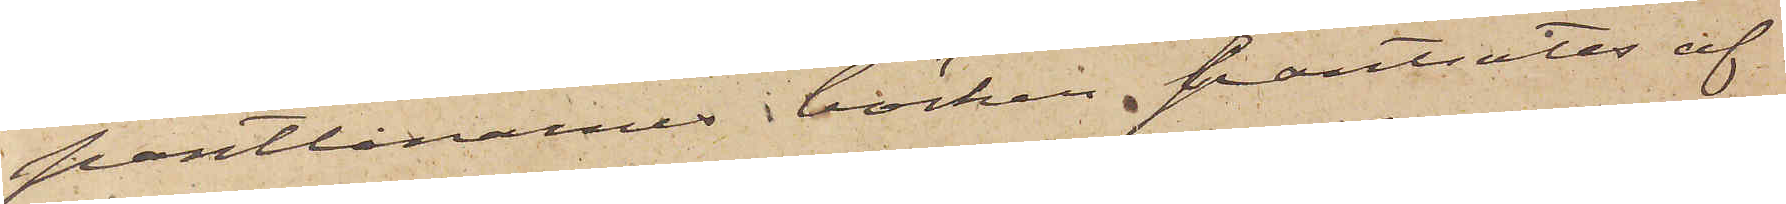pantlånarnes böcker, pantsatts af
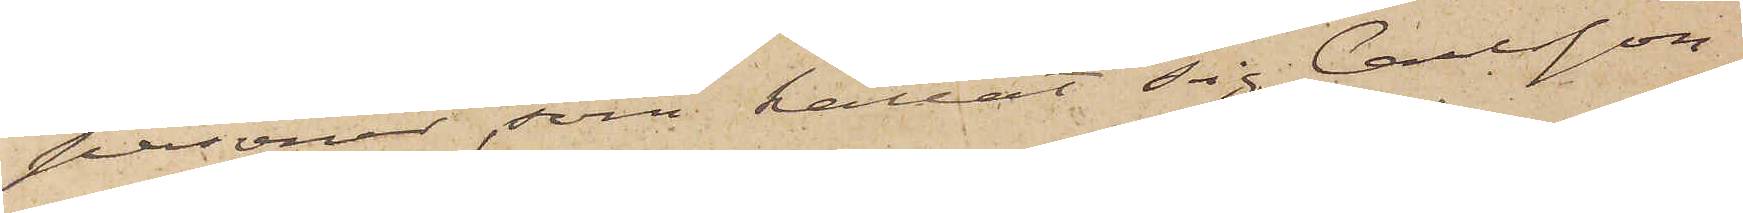personer, som kallat sig Carlsson,
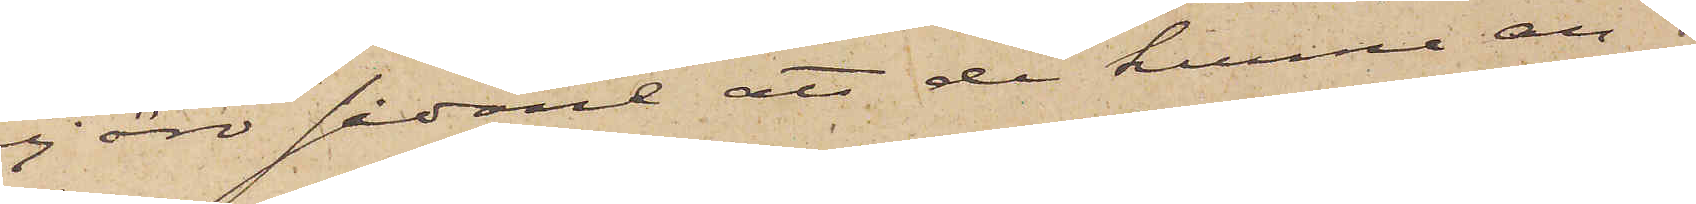ej äro sådane att de kunna an¬
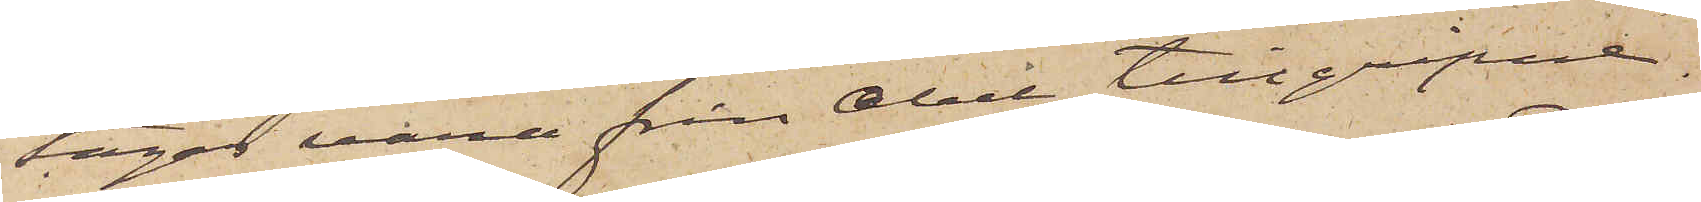tagas vara från Abel tillgripne.
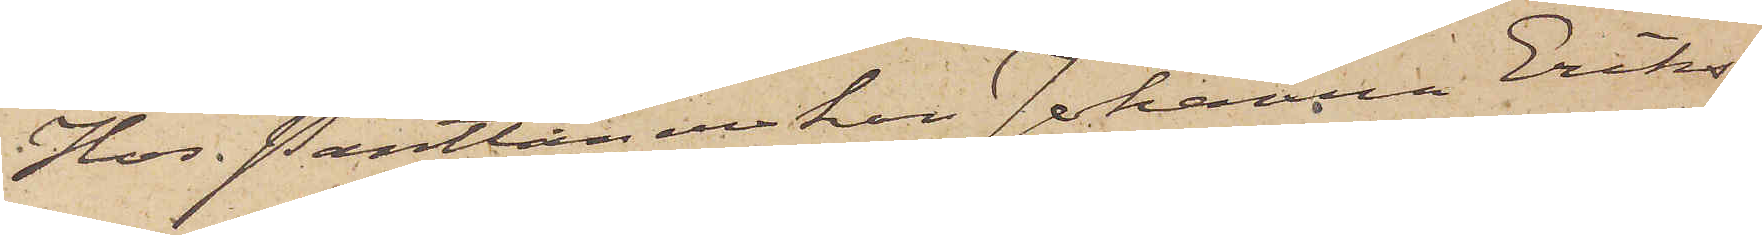Hos Pantlånerskan Johanna Eriks¬
